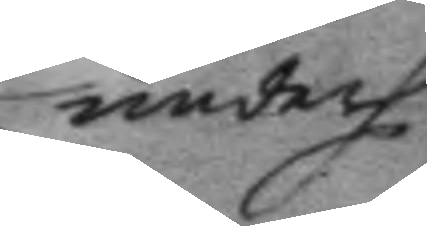underh
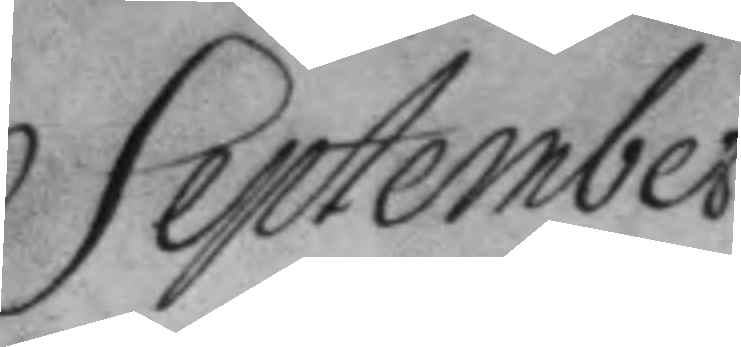September
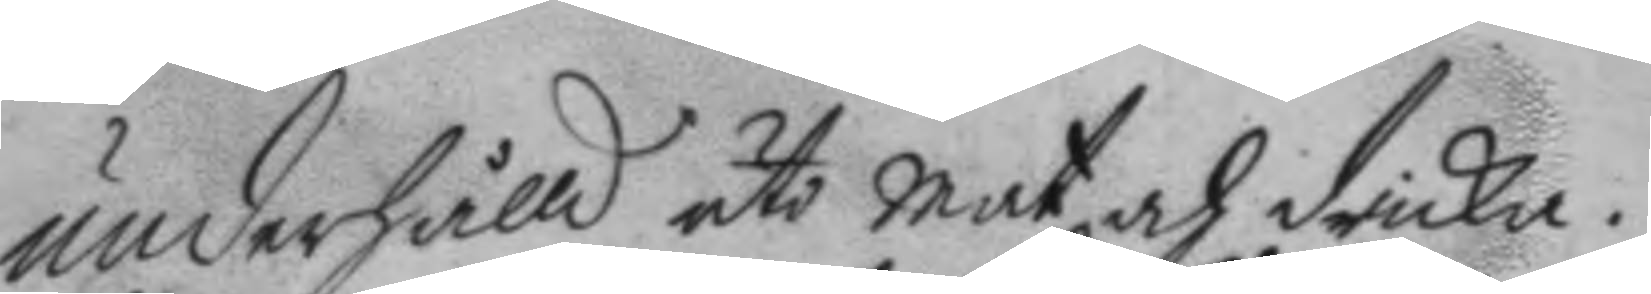underhålld uti mat och dricka.
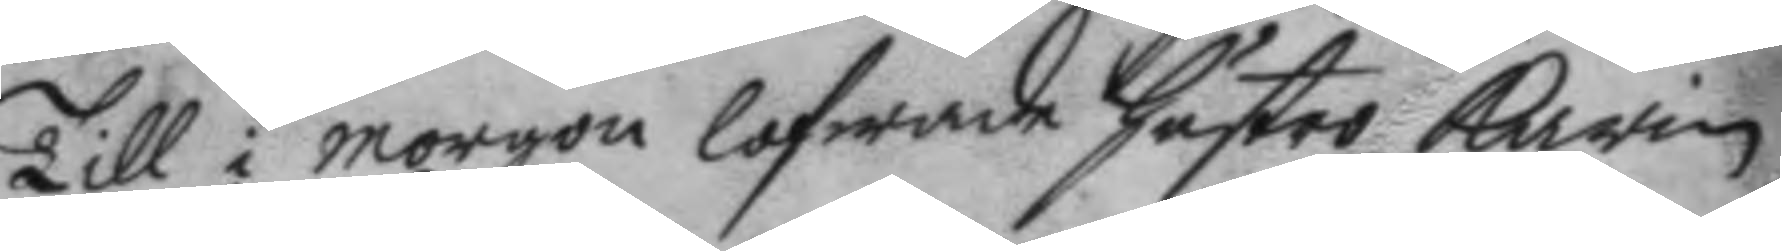Till i morgon lofwade hustro Karin
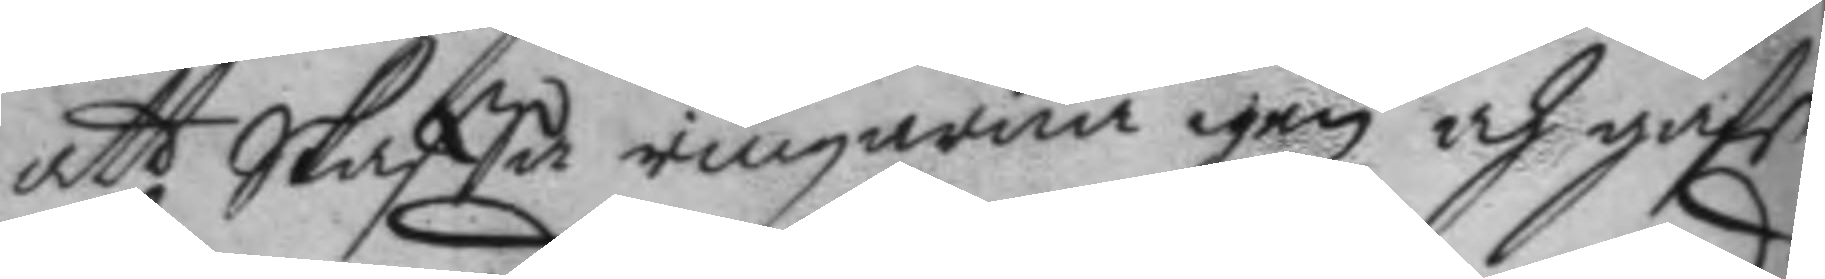att Skaffa ringarna igen och gafe
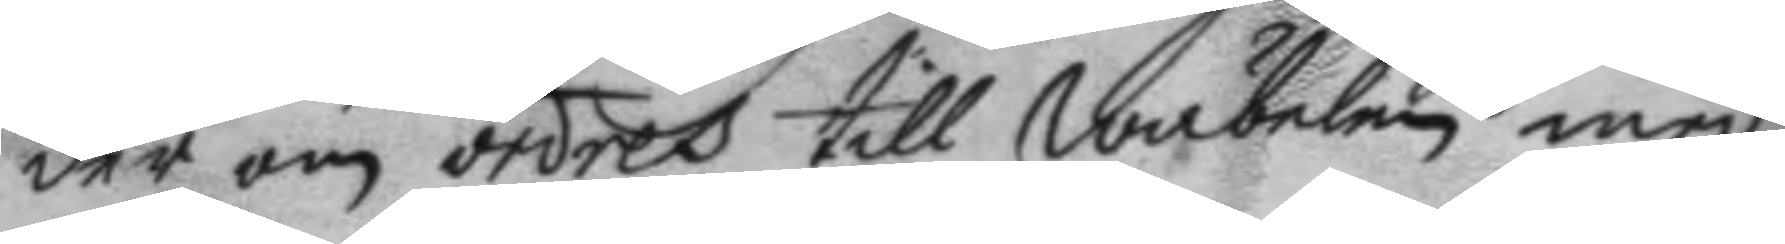der om ordres till wäbelen med
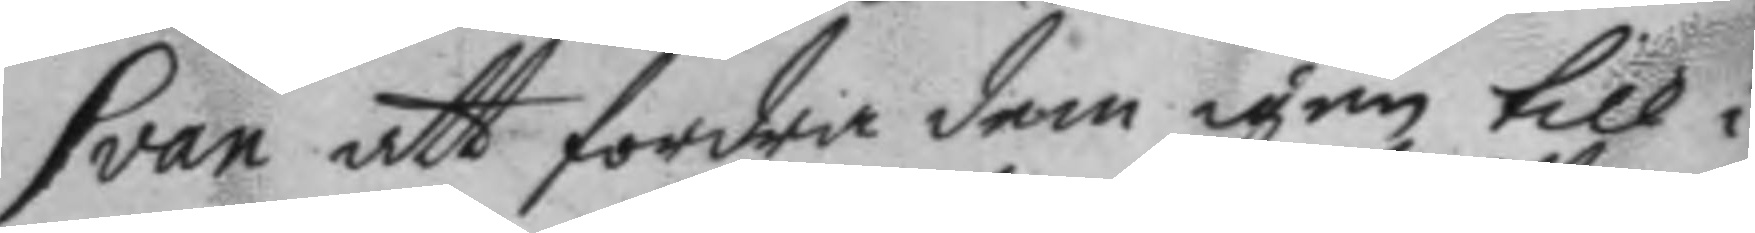Svan att fordra dem igen till i
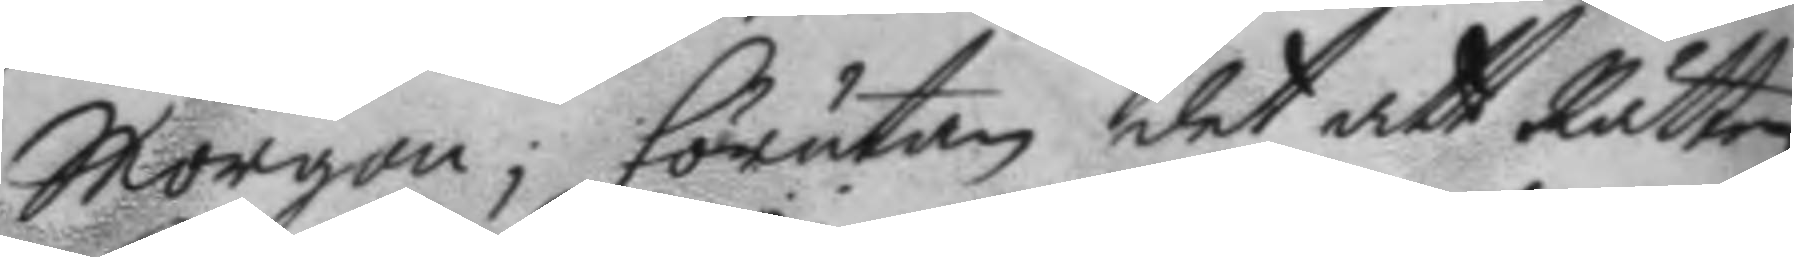Morgon; förutan det att Rätten
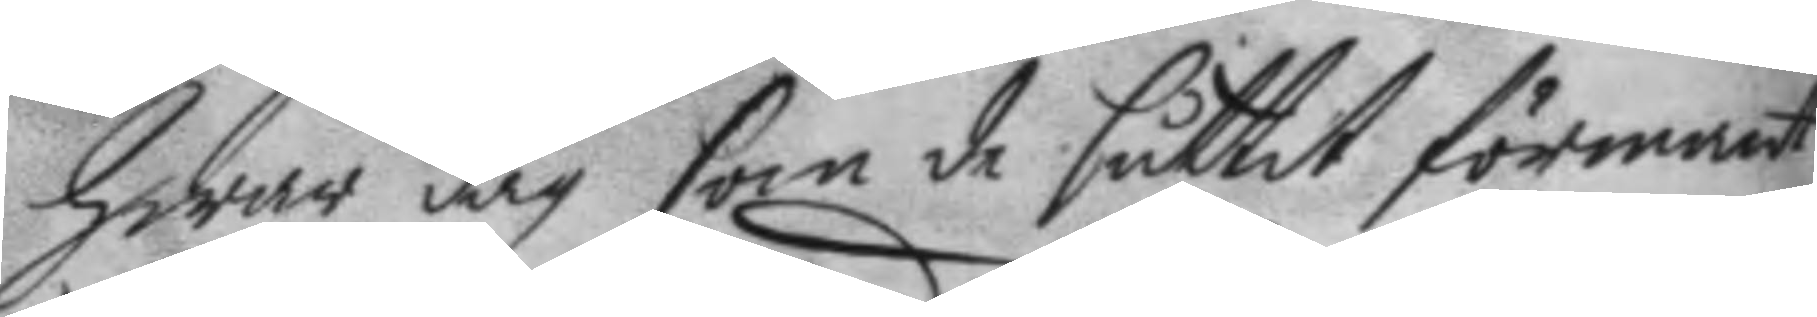hwar dag som de suttit förmant
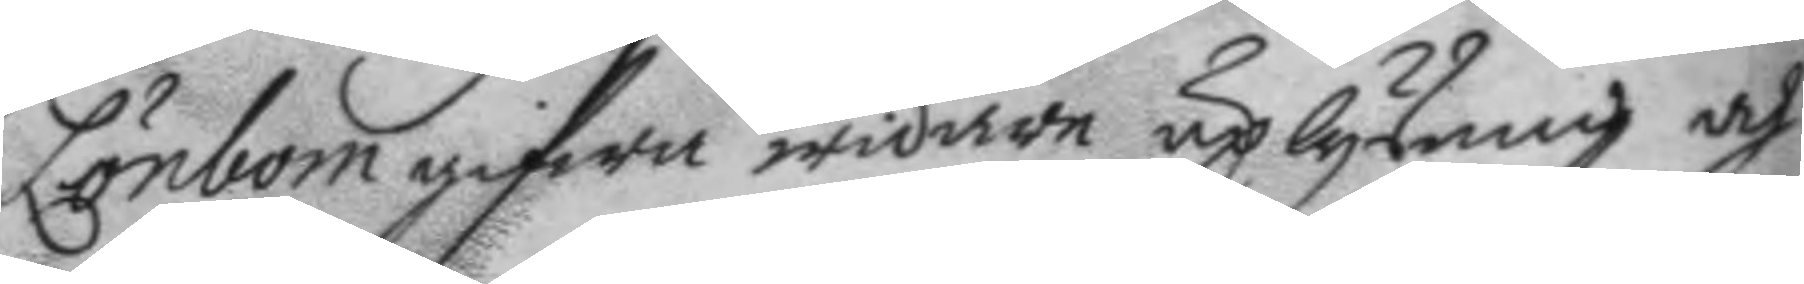Lönbom gifwa widare uplysning och
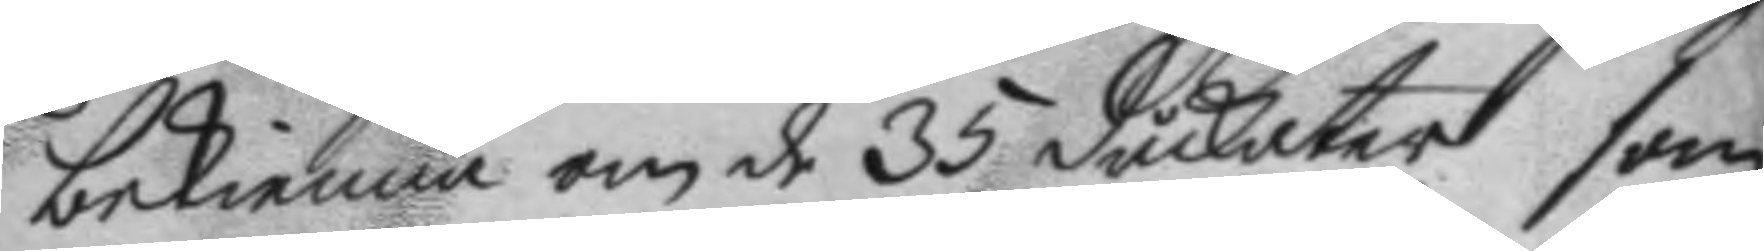bekienna om de 35 duckater som
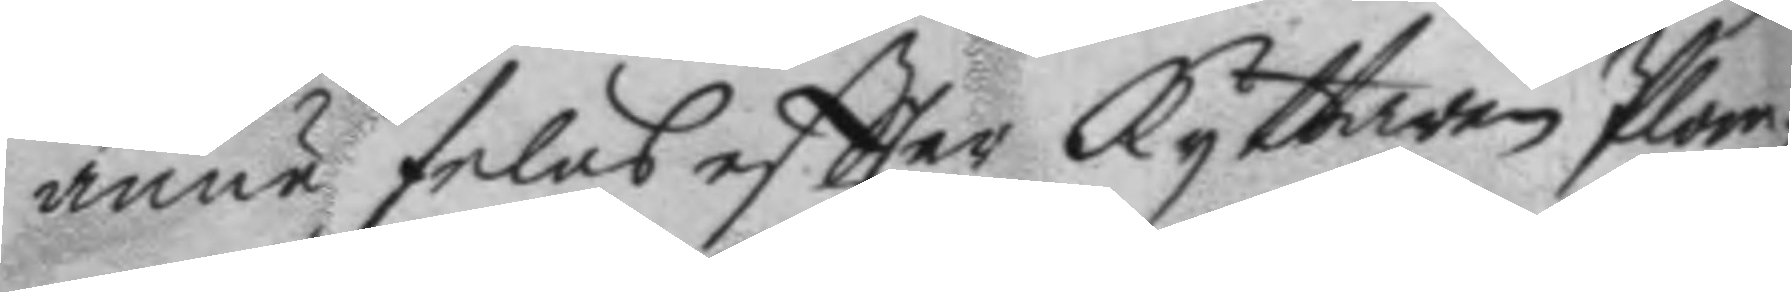ännu felas eftter Ryttaren Plom¬
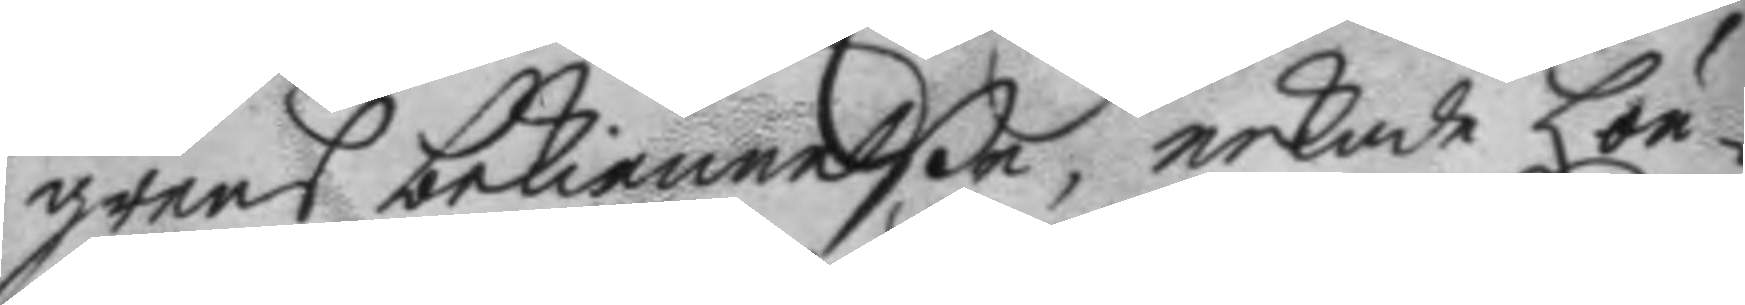grens bekiennelße, nekade Lön¬
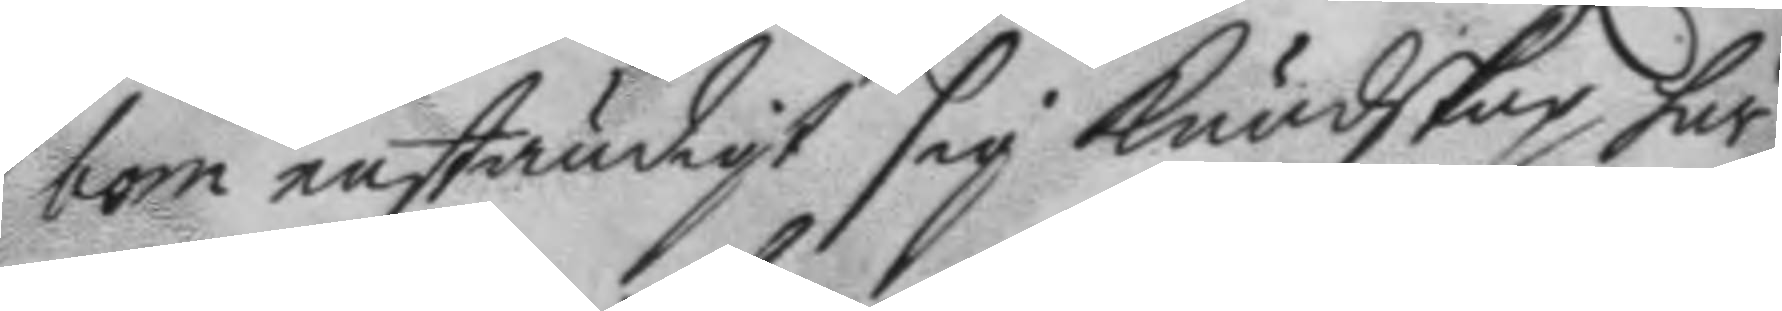bom enständigt sig kundskap här
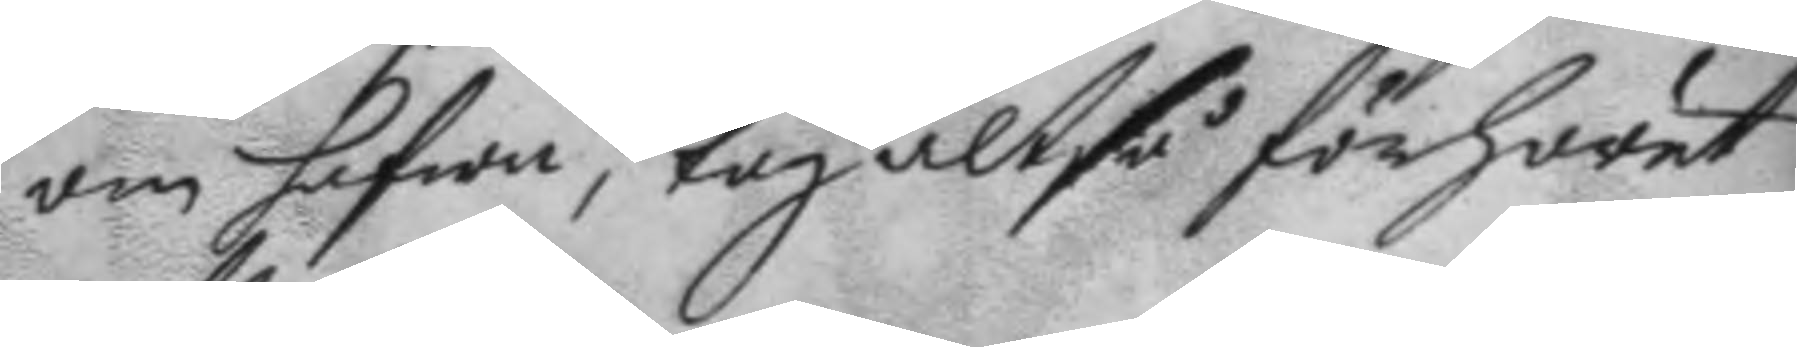om hafwa, tog altså förhöret
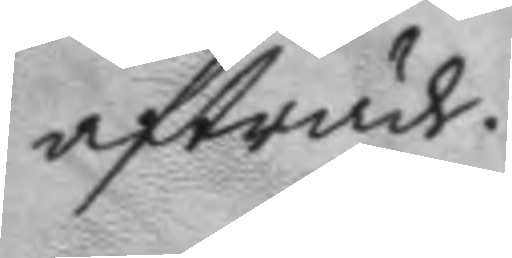afträde.
